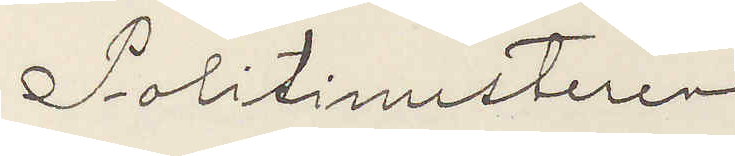Politimesteren
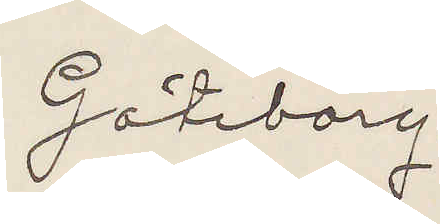Göteborg.
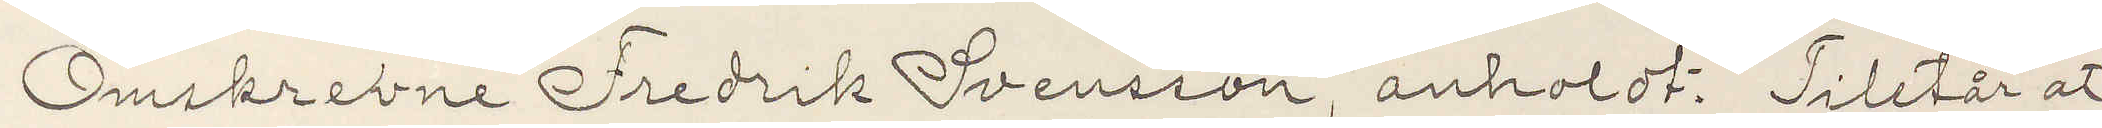Omskrevne Fredrik Svensson, anholdt. Tilstår at
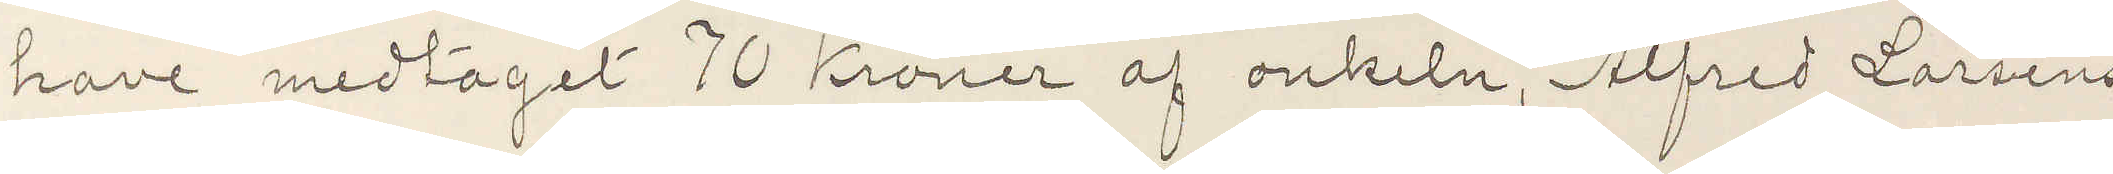have medtaget 70 Kronor af onkeln, Alfred Larsens
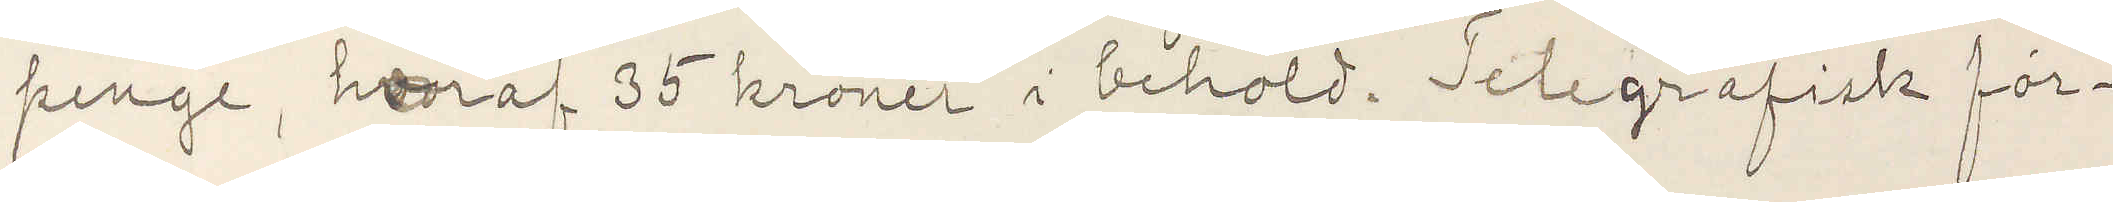penge, hvaraf 35 kronor i behold. Telegrafisk för¬
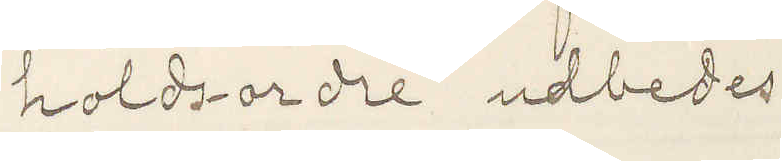holds-ordre udbedes.
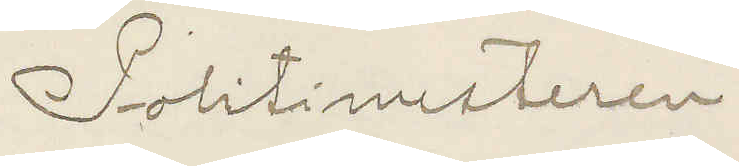Politimesteren.
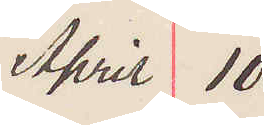April 10
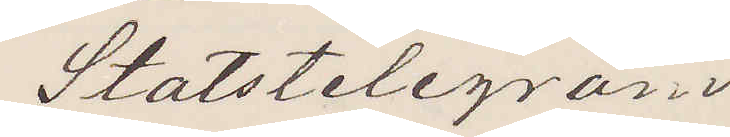Statstelegram
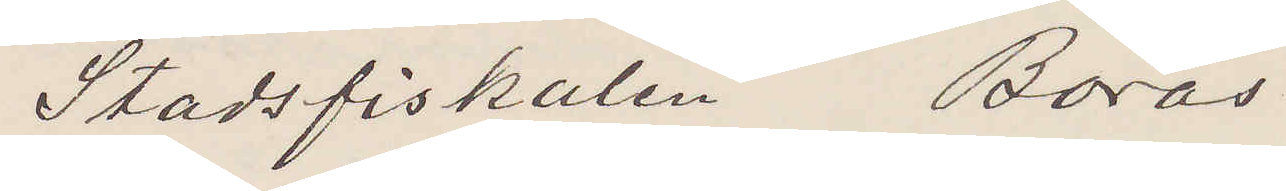Stadsfiskalen Borås.
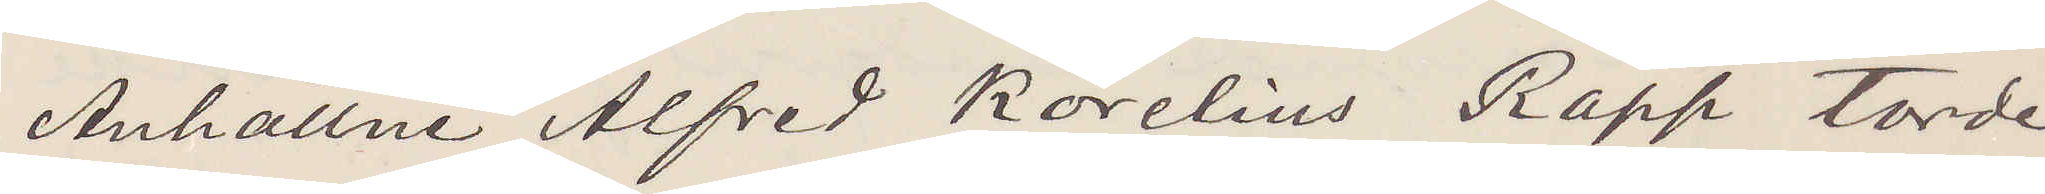Anhållne Alfred Korelius Rapp torde
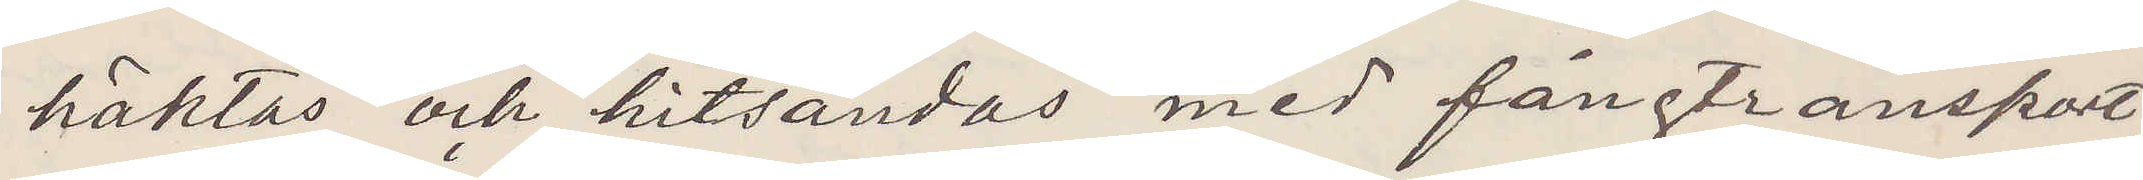häktas och hitsändas med fångtransport
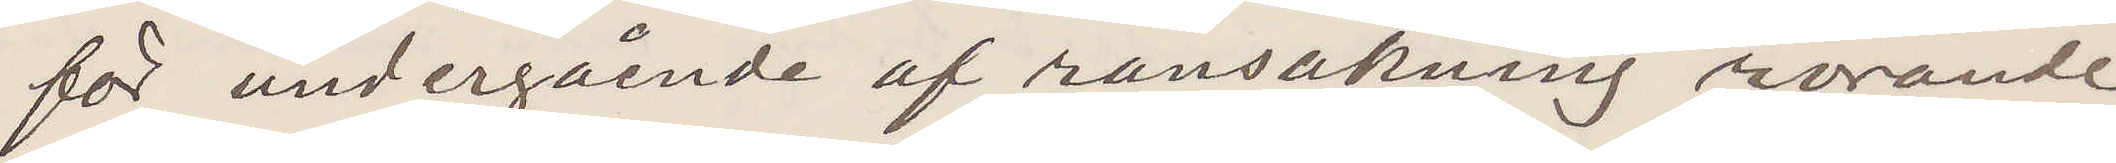för undergående af ransakning rörande
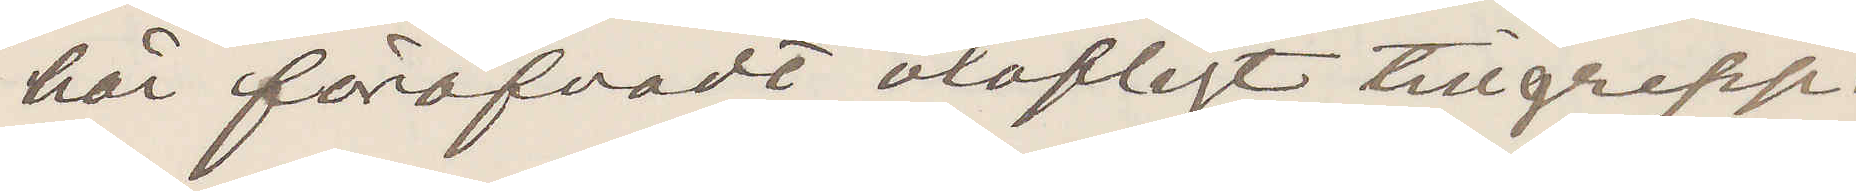här föröfvadt olofligt tillgrepp.
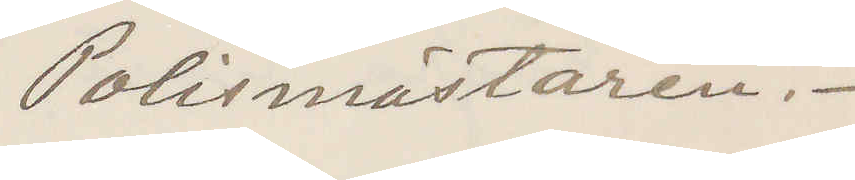Polismästaren.
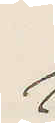?
